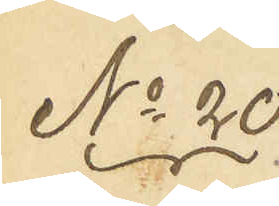No 20
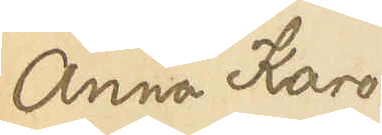Anna Karo¬
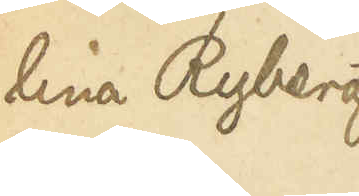lina Ryberg
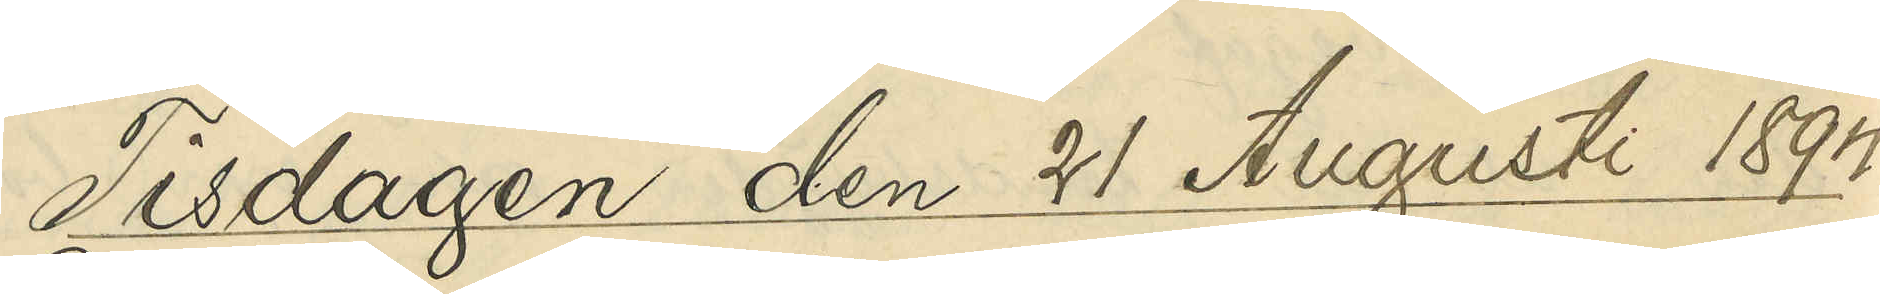Tisdagen den 21 Augusti 1894.
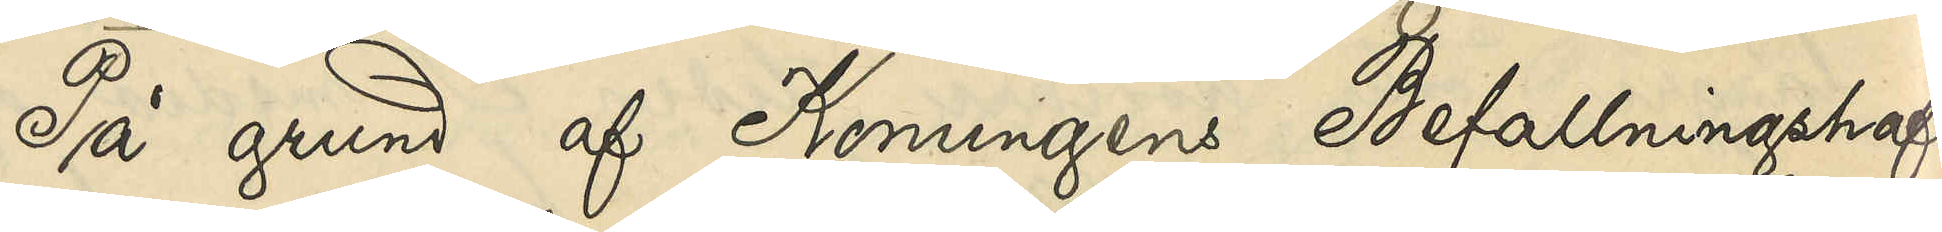På grund af Konungens Befallningshaf¬
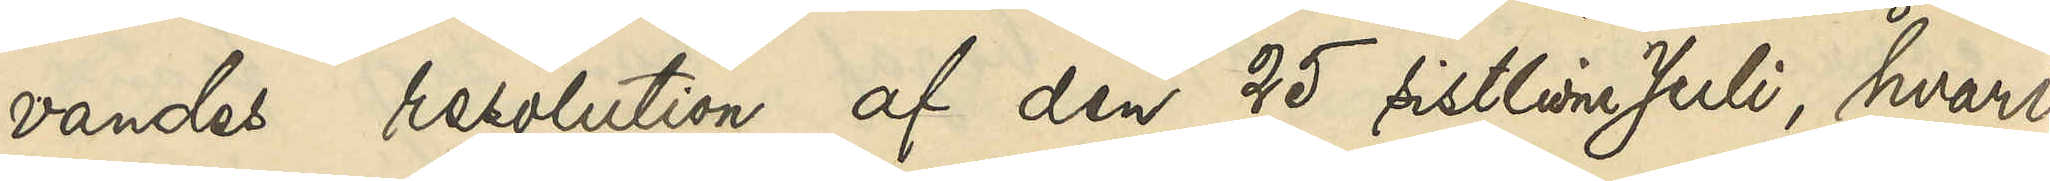vandes resolution af den 25 sistlidne Juli, hvari¬
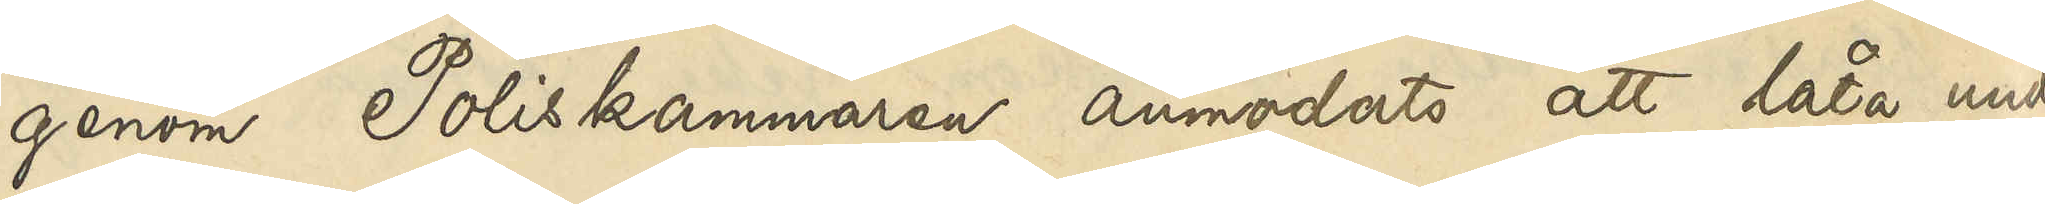genom Poliskammaren anmodats att låta under¬
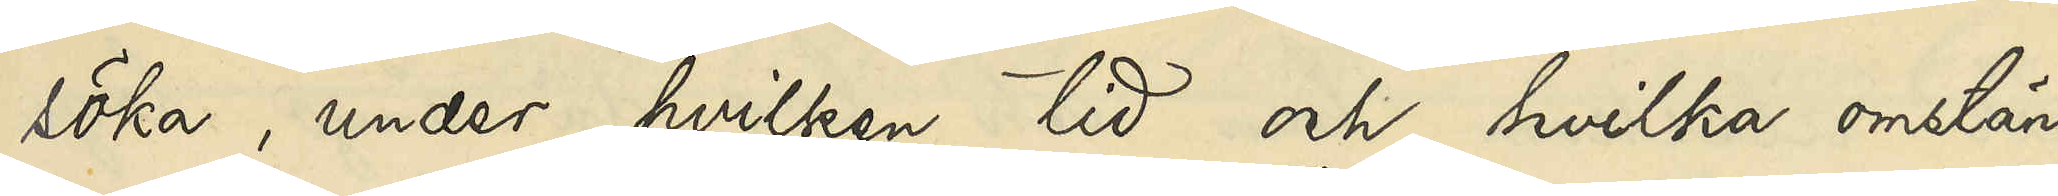söka, under hvilken tid och hvilka omstän¬
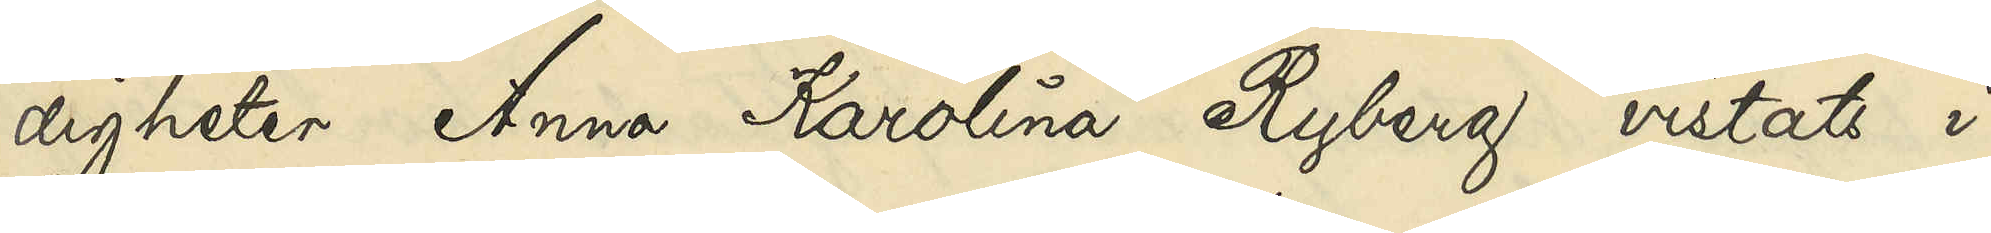digheter Anna Karolina Ryberg vistats i
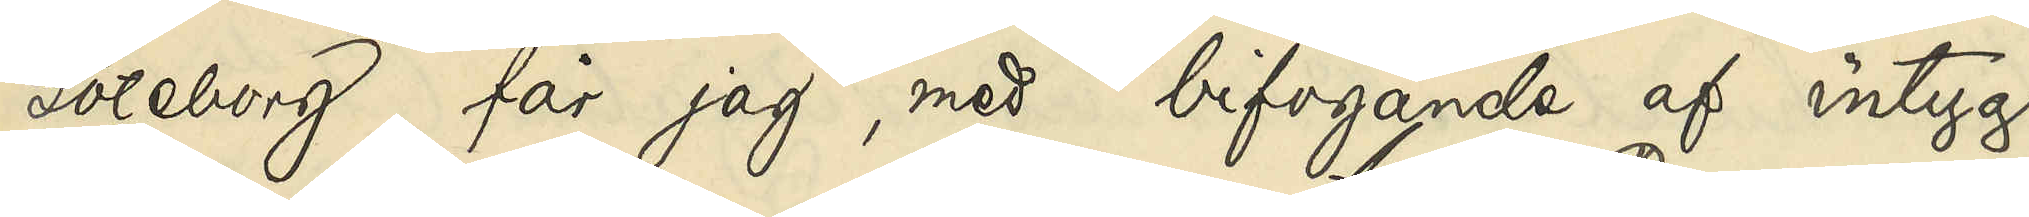Göteborg, får jag, med bifogande af intyg
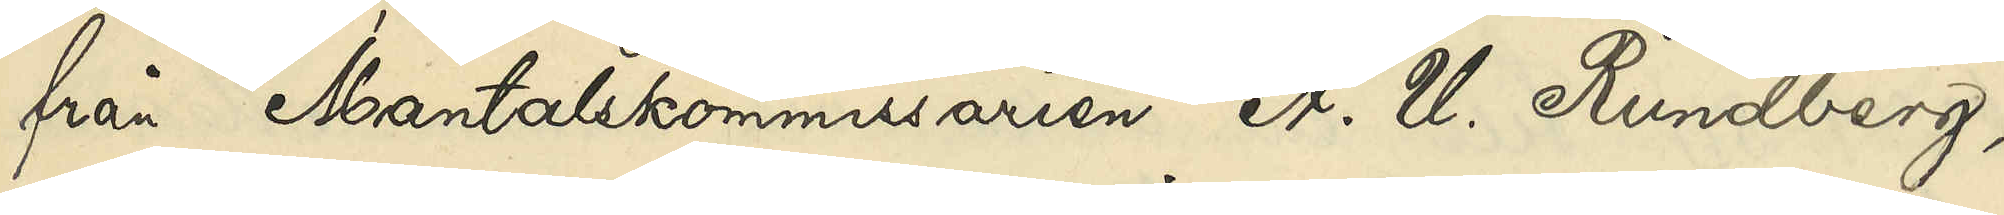från Mantalskommissarien A. U. Rundberg,
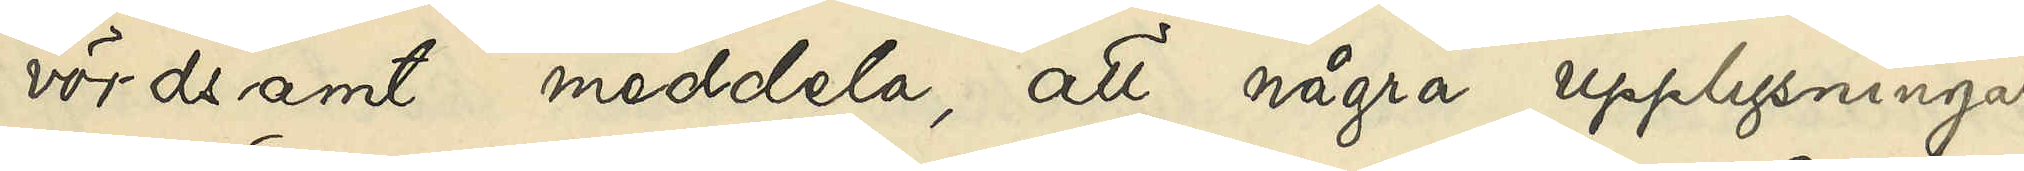vördsamt meddela, att några upplysningar
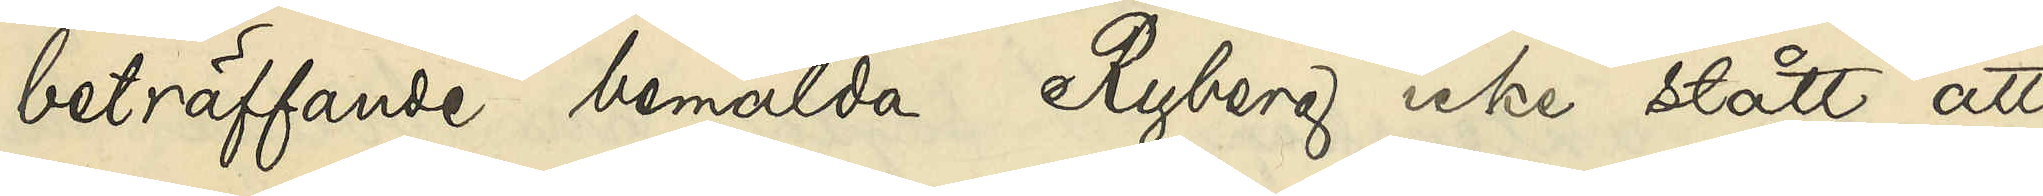beträffande bemälda Ryberg icke stått att
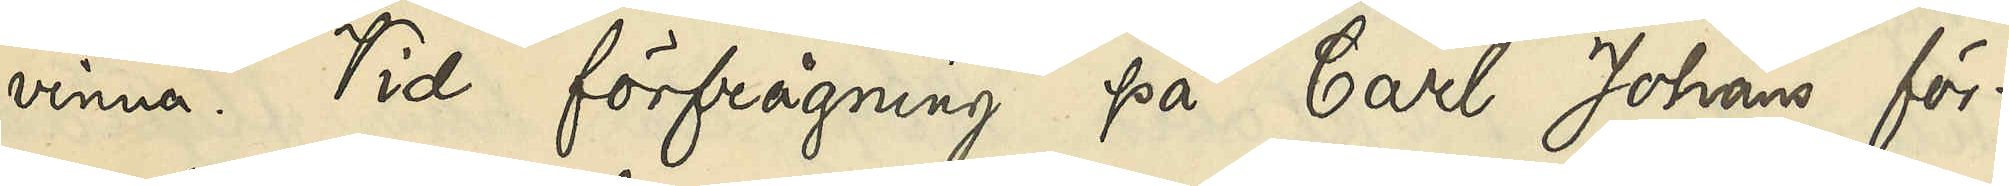vinna. Vid förfrågning på Carl Johans för¬
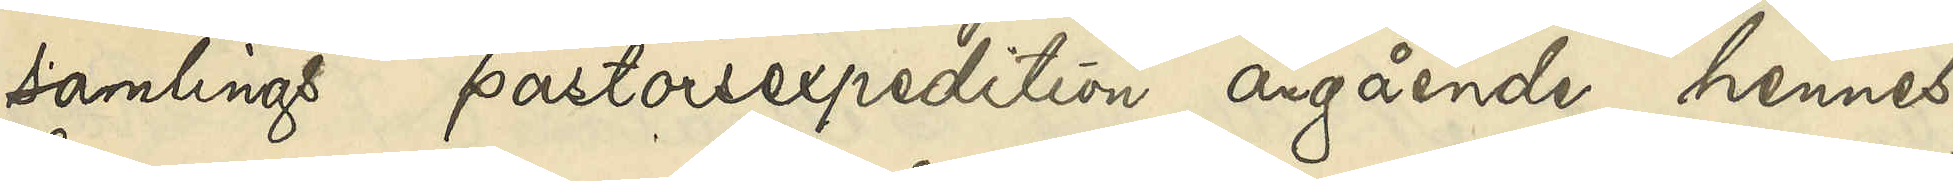samling pastorsexpedtion angående hennes
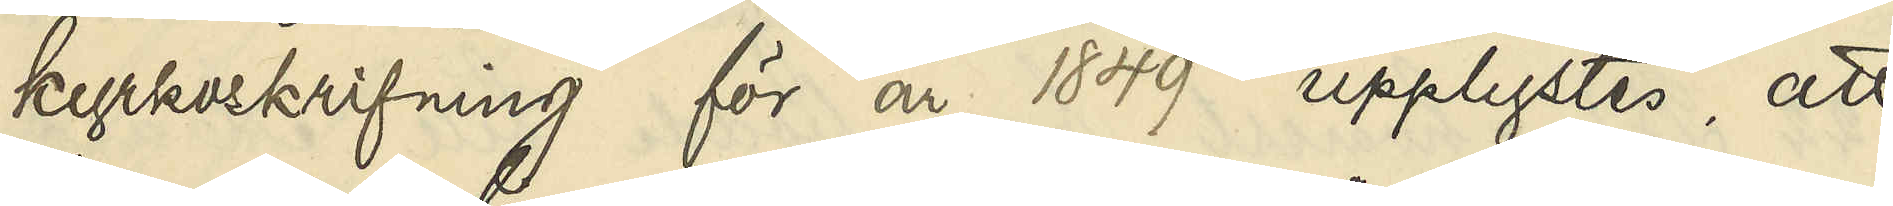kyrkoskrifning för år 1849 upplystes, att
